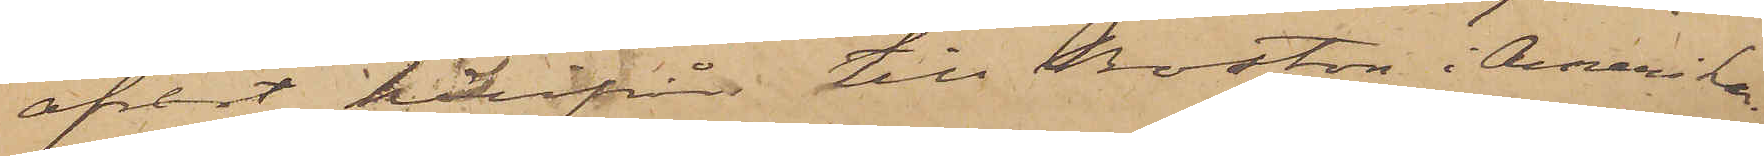afrest härifrån till Boston i Amerika
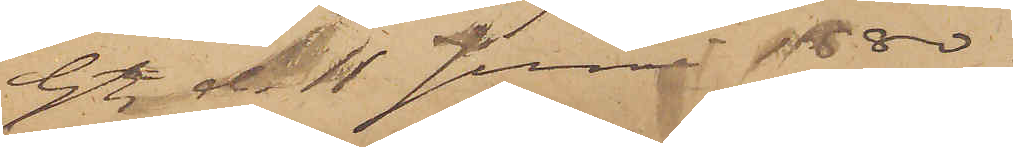Gtbg den 11 Juni 1880.
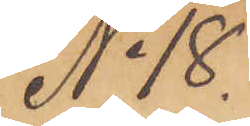No 18
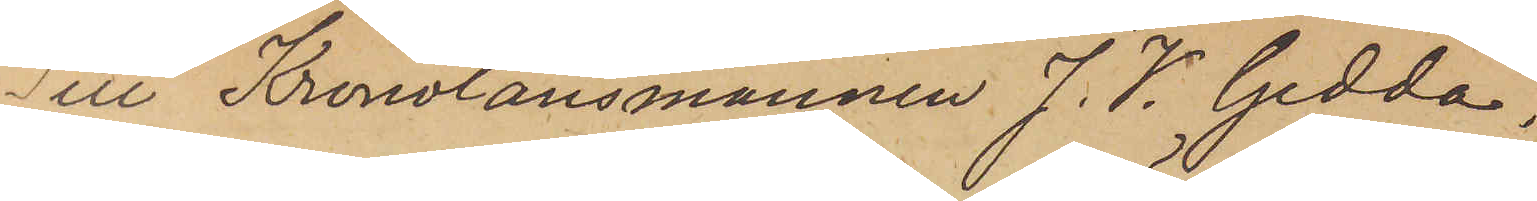Till Kronolänsmannen J. V. Gedda,
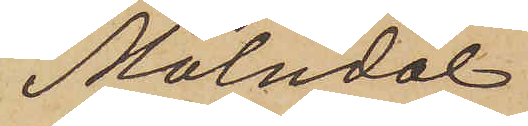Mölndal.
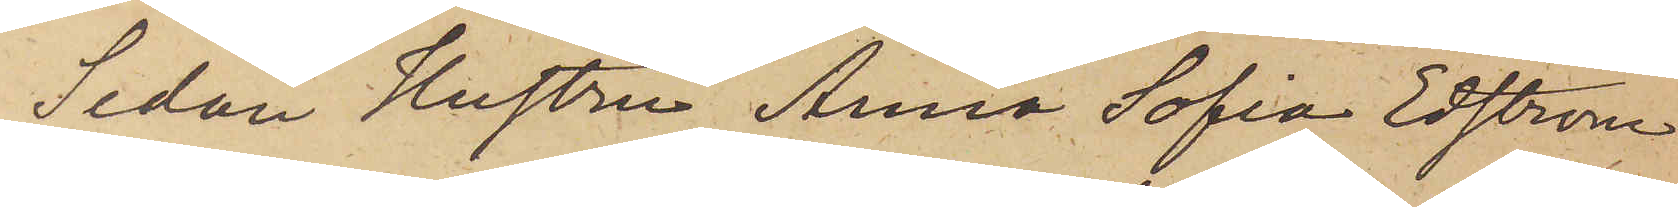Sedan Hustru Anna Sofia Edström
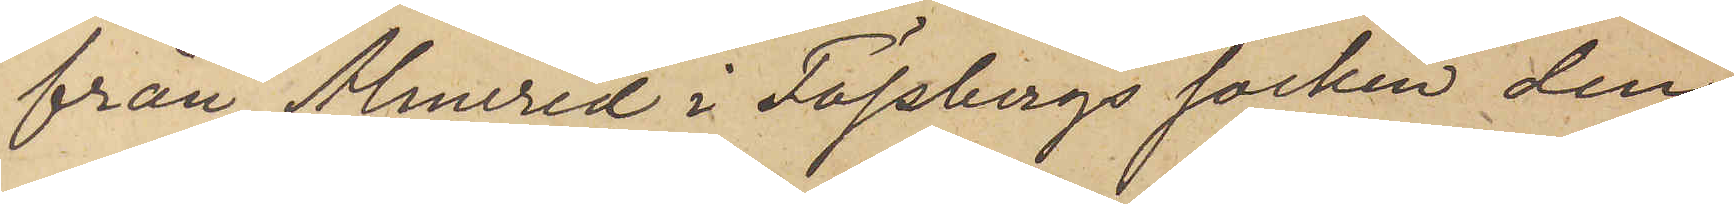från Almered i Fässbergs socken den
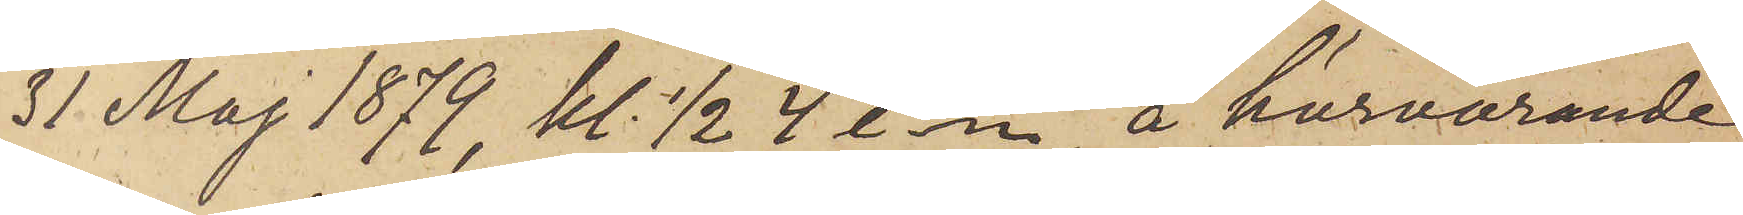31 Maj 1879, kl. 1/2 4 e.m. å härvarande
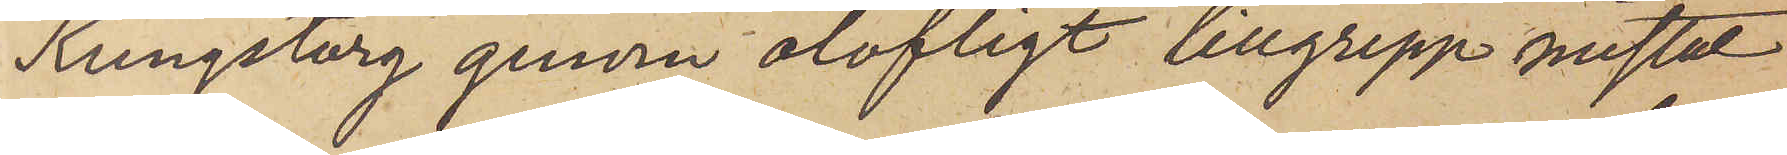Kungstorg genom olofligt tillgrepp mistat
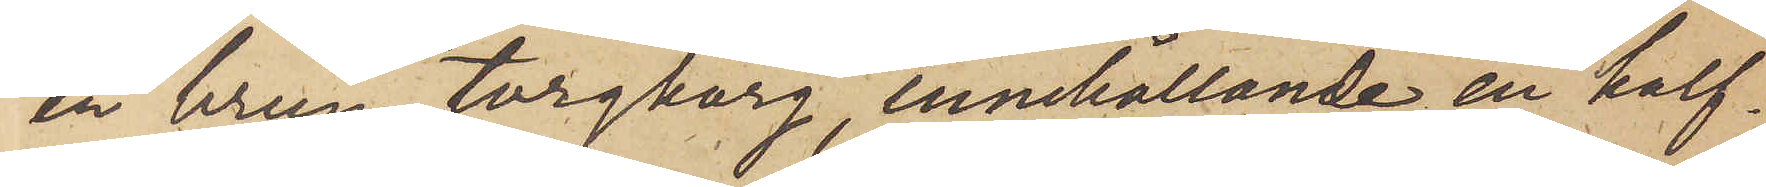en brun torgkorg, innehållande en half¬
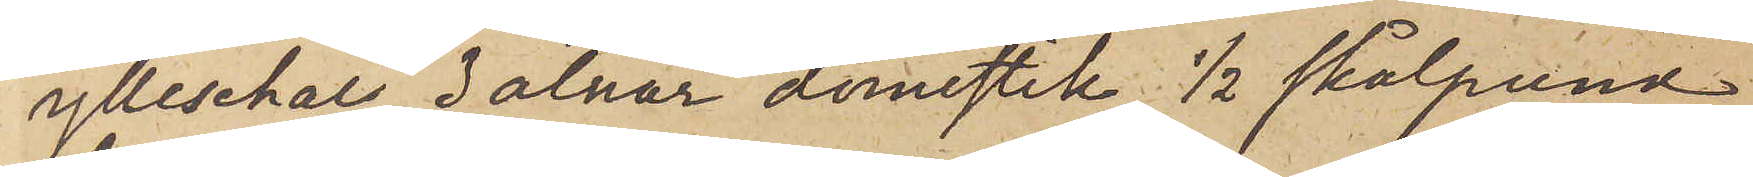ylleschal, 3 alnar domestik, 1/2 skålpund
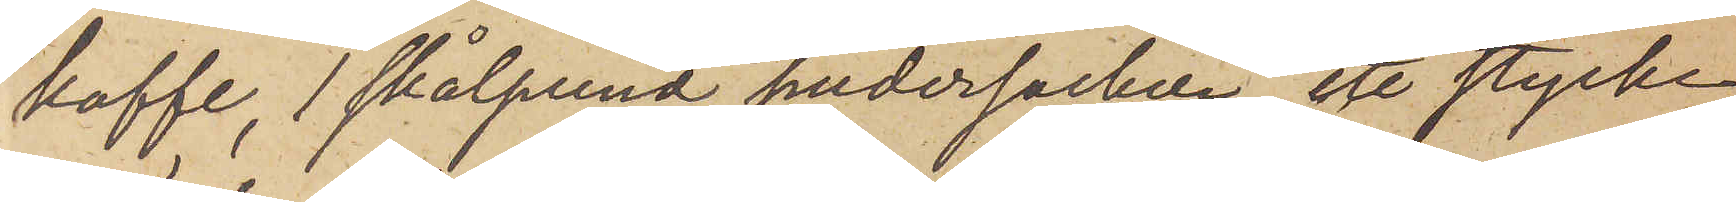kaffe, 1 skålpund pudersocker, ett stycke
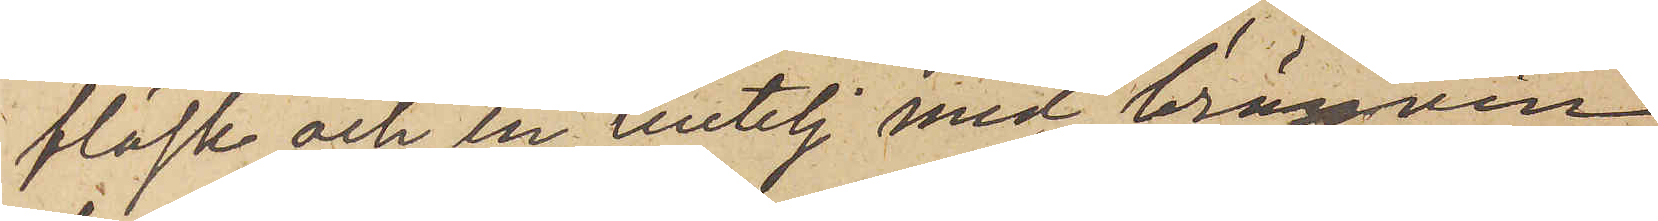fläsk och en butelj med bränvin,
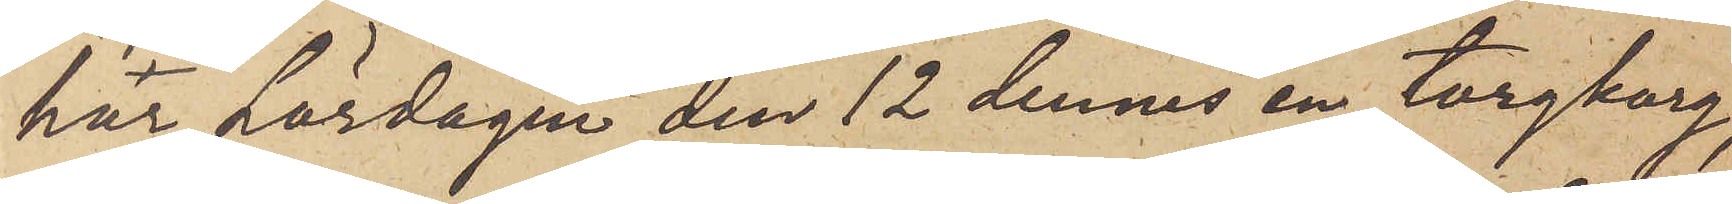har Lördagen den 12 dennes en torgkorg,
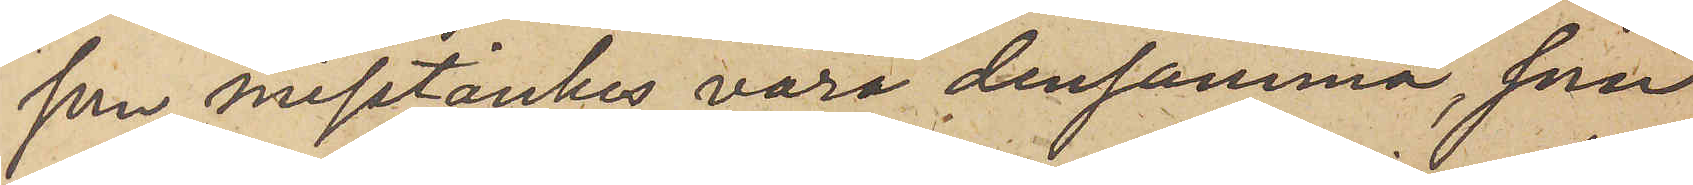som misstänkes vara densamma, som
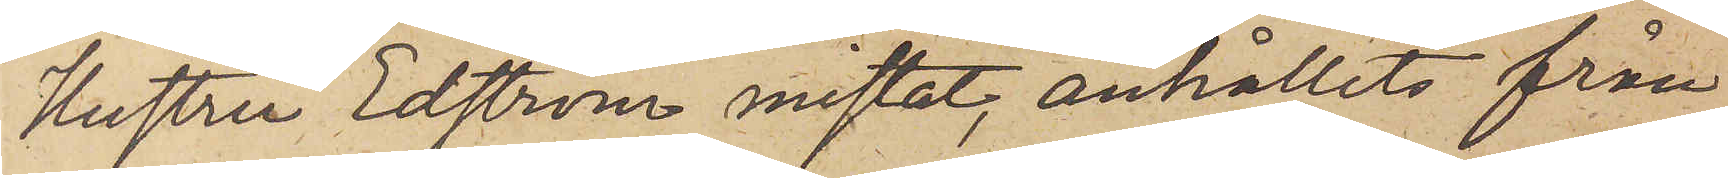Hustru Edström mistat, anhållits från
